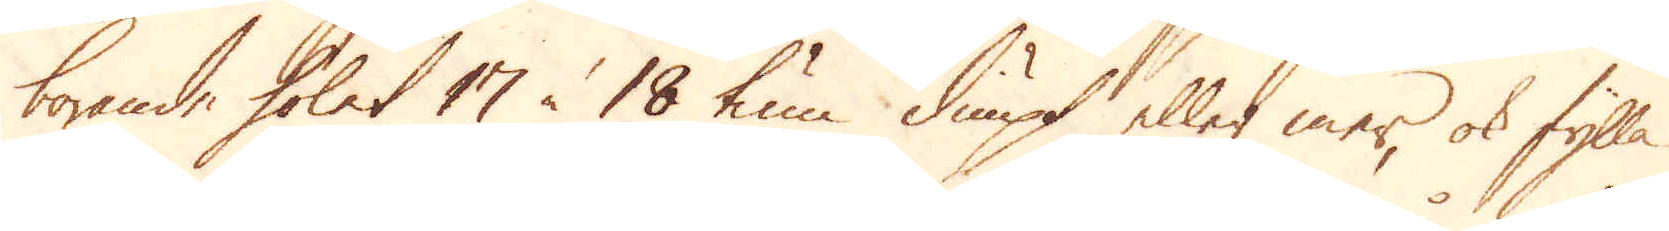borande holet 17 à 18 tum diupt eller mer, ok fylla
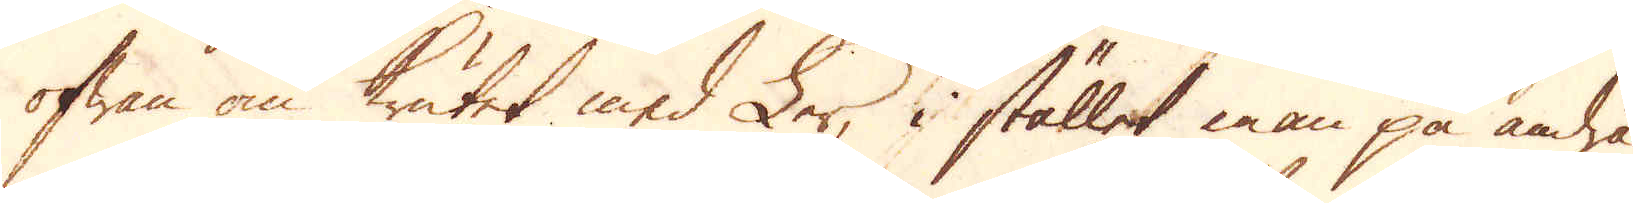ofwan om krutet med Ler i stället man på andra
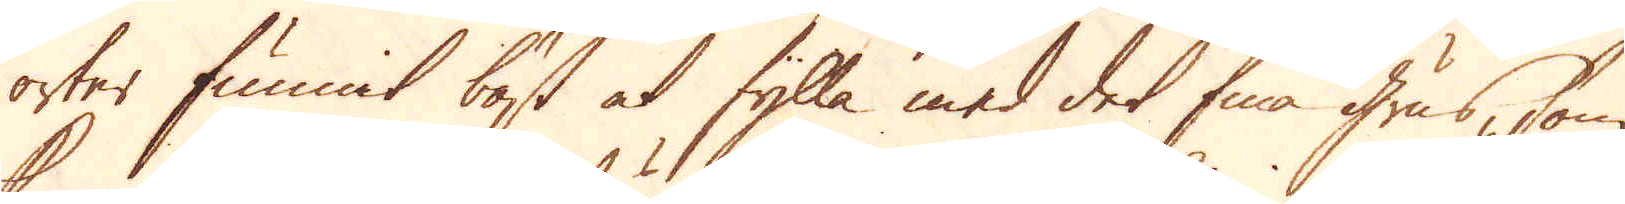orter funnit bäst at fylla med det finna grus, som
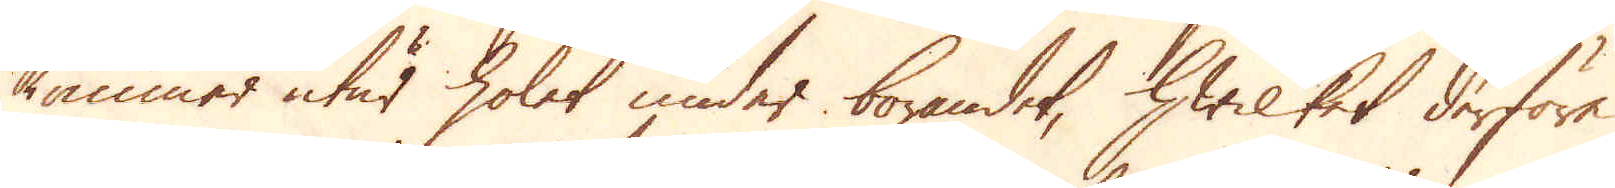kommer utur holet under borandet, hwilket derföre
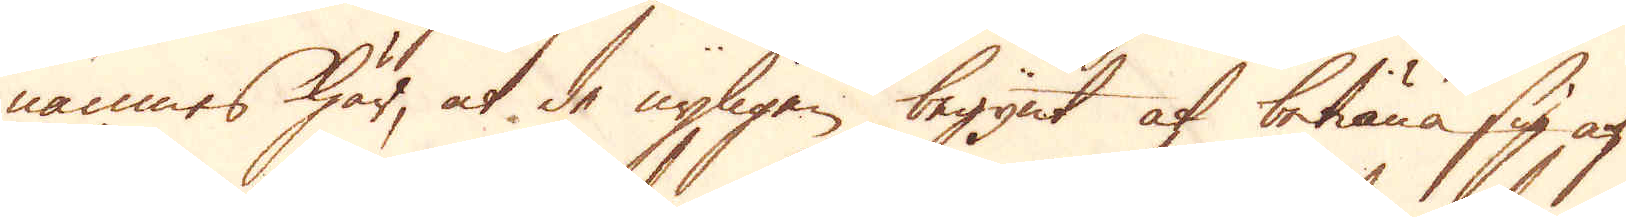nämnas här, at de nyligen begynt af betiäna sig af
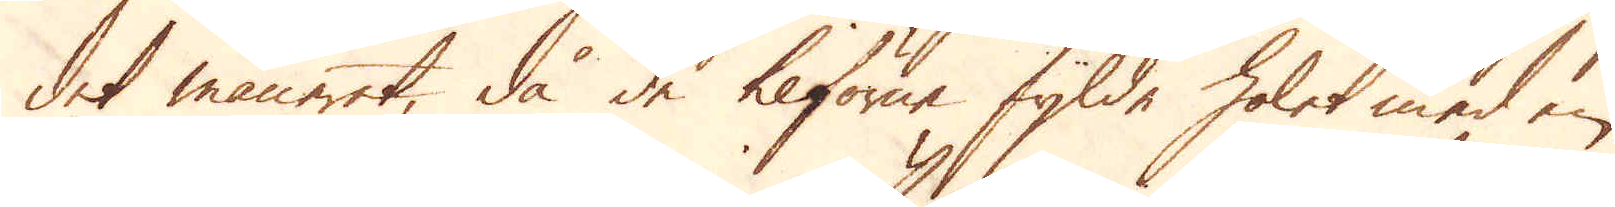det maneret, då de tilförne fylde holet med en
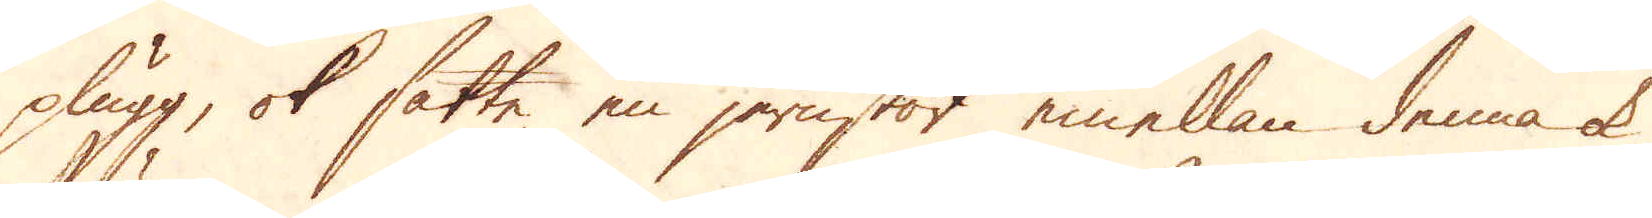plugg, ok satte en jernstör emellan denna ok
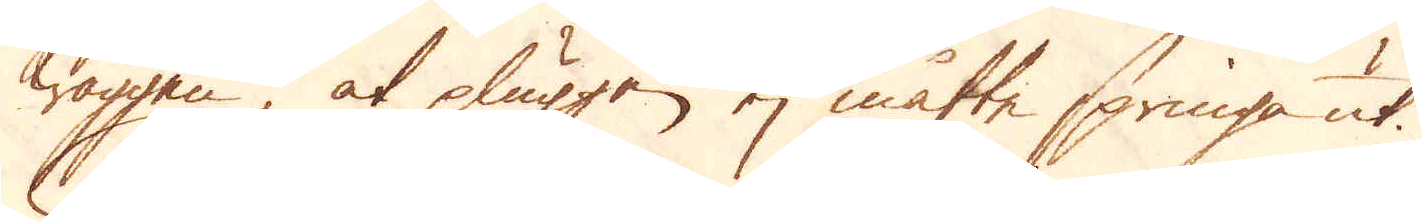wäggen at pluggen ej måtte springa ut.
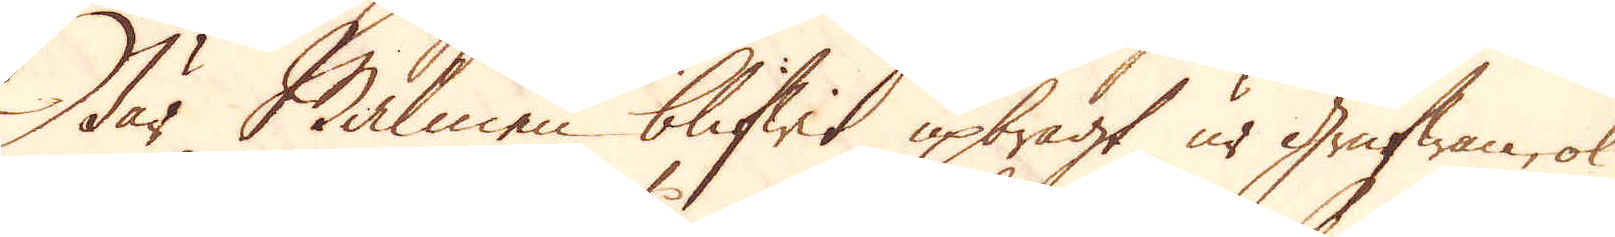När Malmen blifwit upbragt ur Grufwan, ok
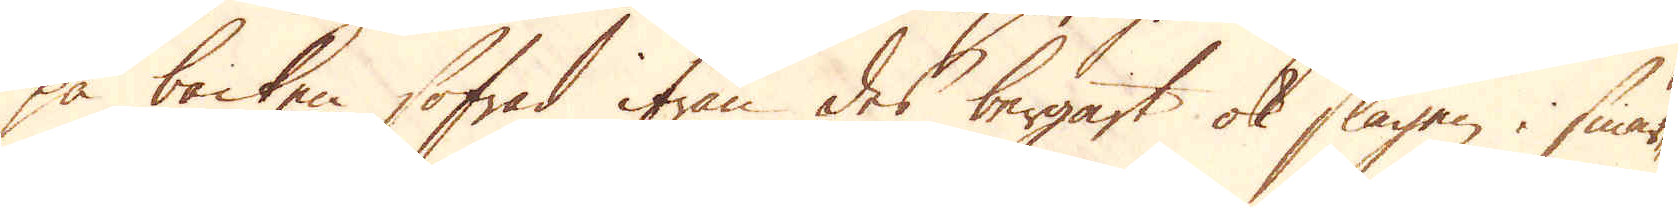på backen sofrad ifrån des bergart ok slagen i smär-
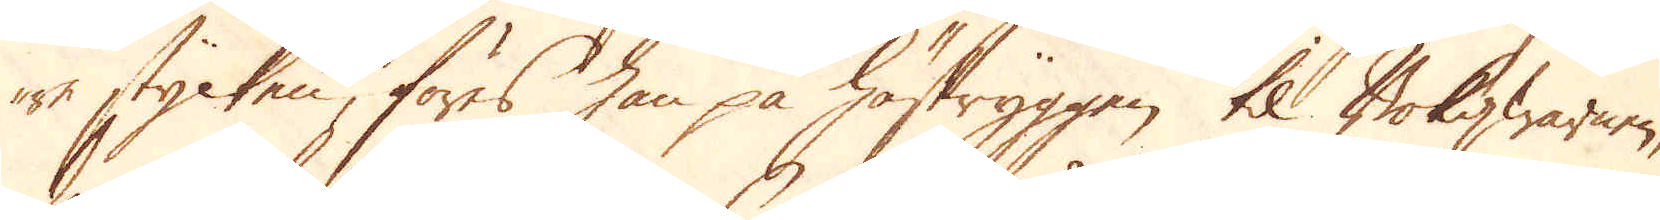re stycken, föres han på hästryggen til Bokqwarnen,
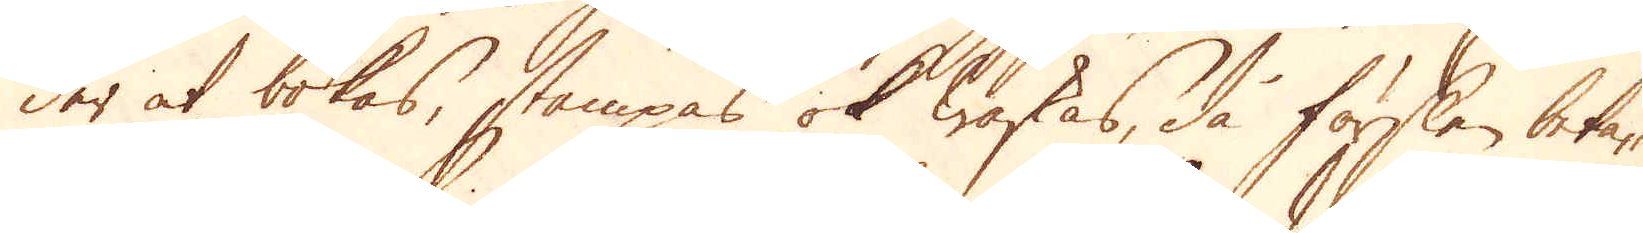der at bokas, stampas ok waskas, då förslen beta-
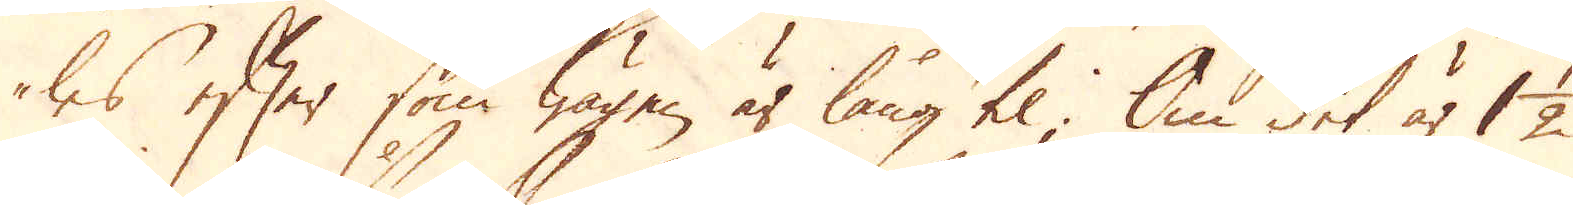les efter som wägen är lång til; Om det är 1 1/2
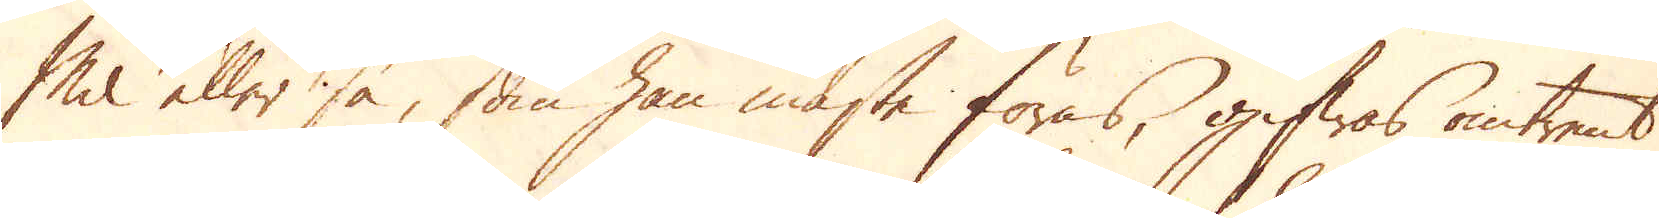Mil eller så, som han måste föras, gifwas omtrent
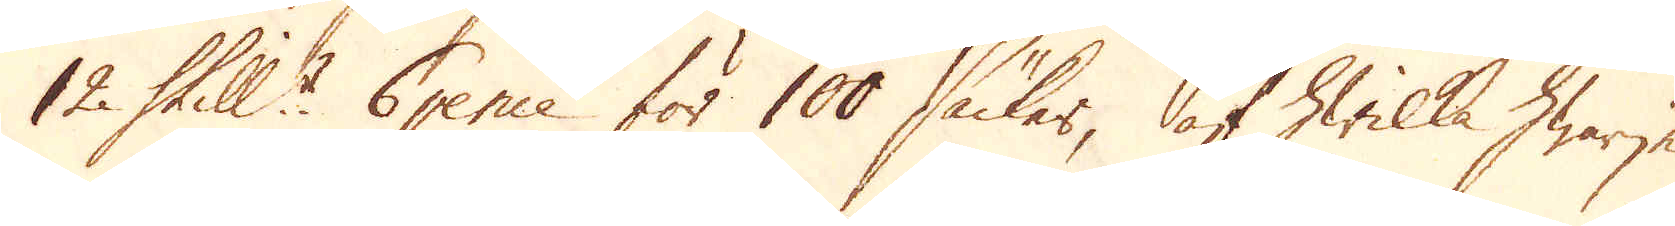12 Skill:r 6 pence för 100 säcker, af hwilka hwarje
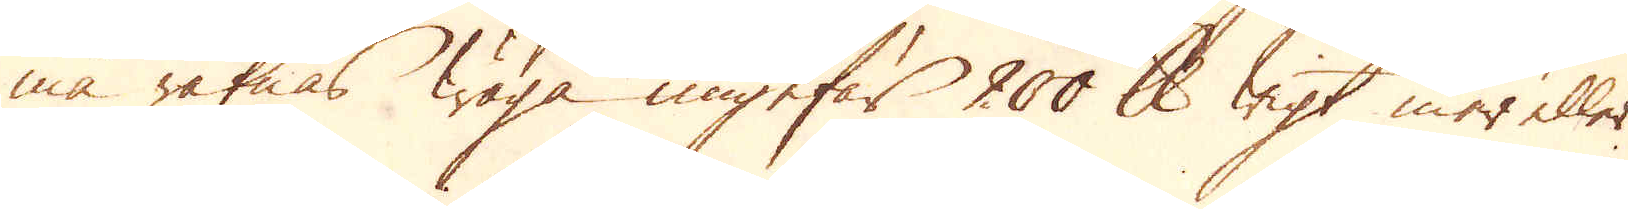må räknas wäga ungefär 200 skålpunds wigt mer eller
